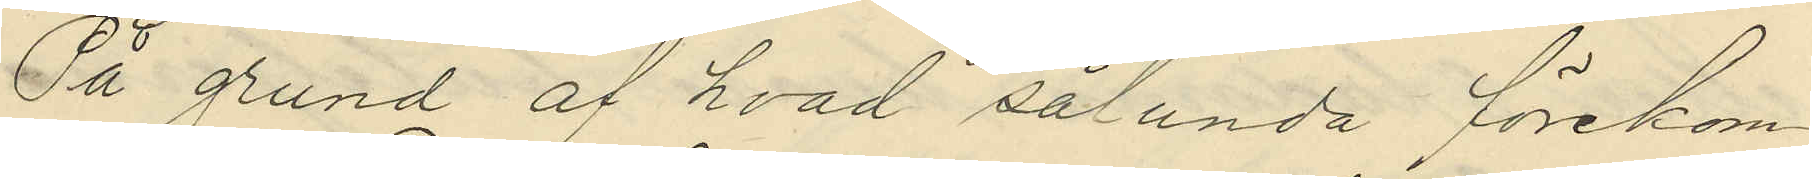På grund af hvad sålunda förekom¬
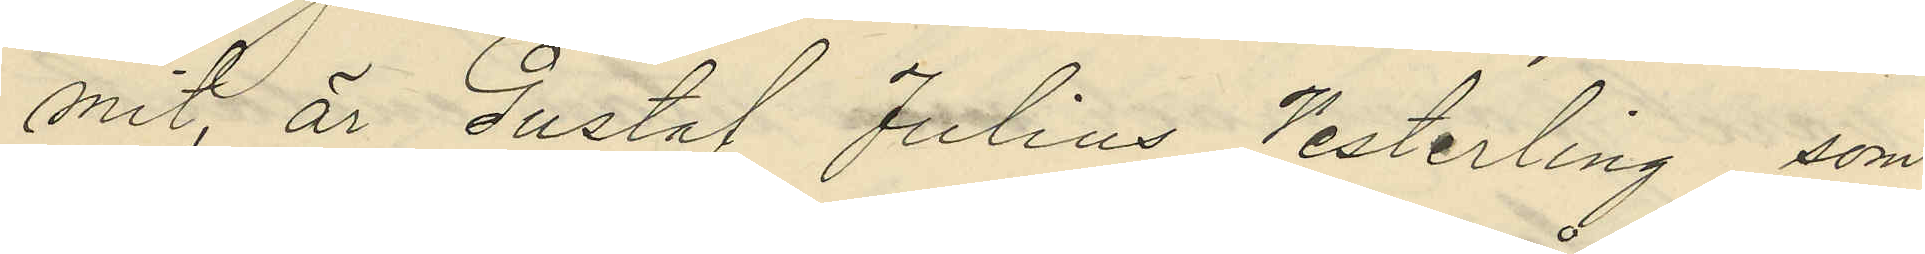mit, är Gustaf Julius Vesterling, som
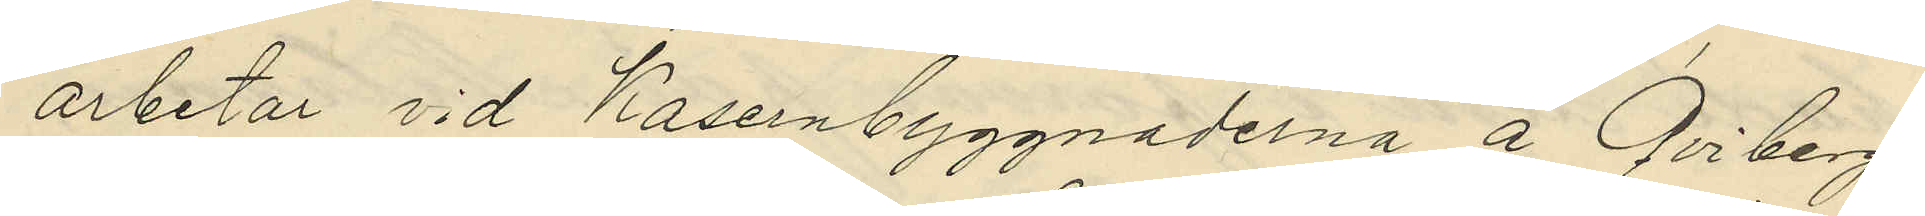arbetar vid Kasernbyggnaderna å Qviberg,
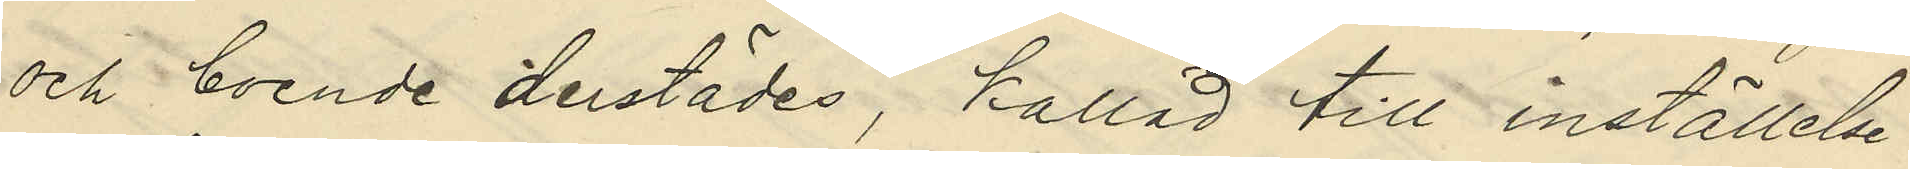och boende derstädes, kallad till inställelse
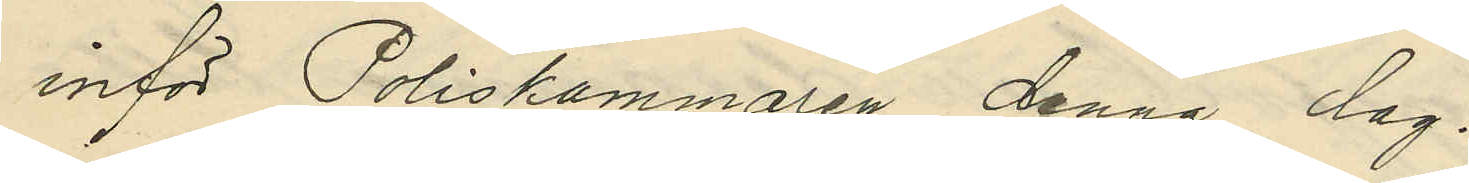inför Poliskammaren denna dag.
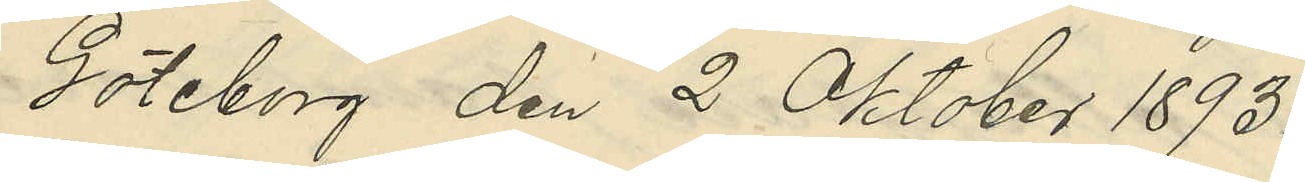Göteborg den 2 Oktober 1893.
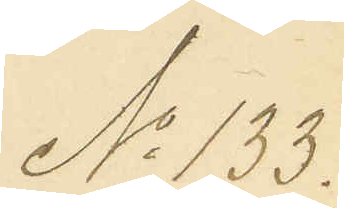No 133.
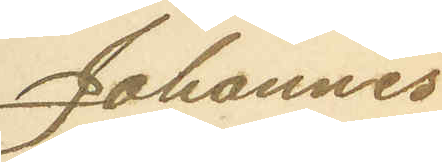Johannes
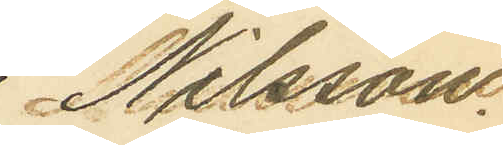Nilsson.
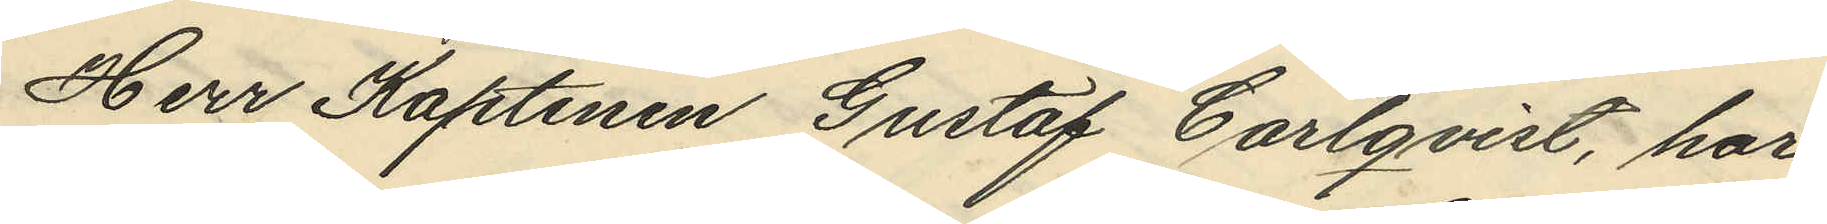Herr Kaptenen Gustaf Carlqvist, har
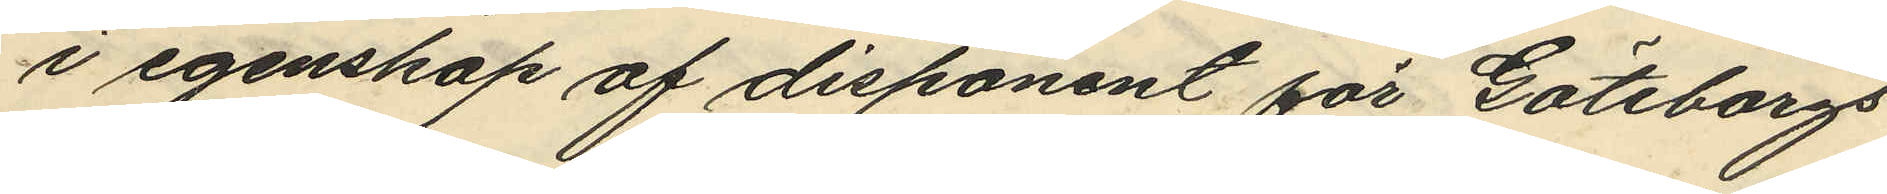i egenskap af disponent för Göteborgs
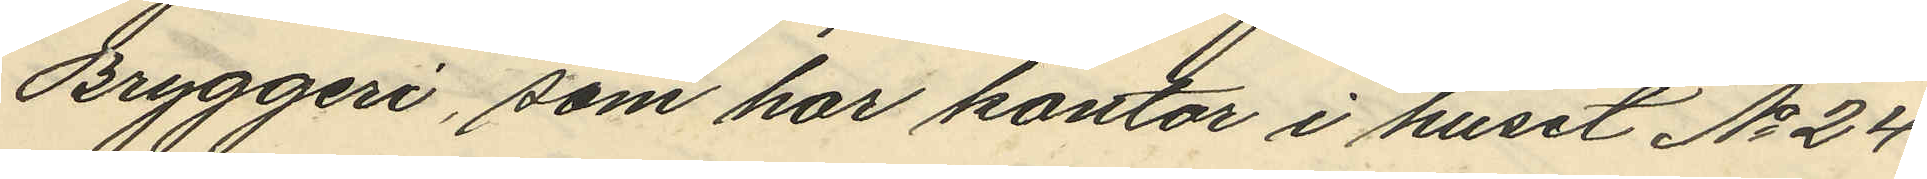Bryggeri, som har kontor i huset No 24
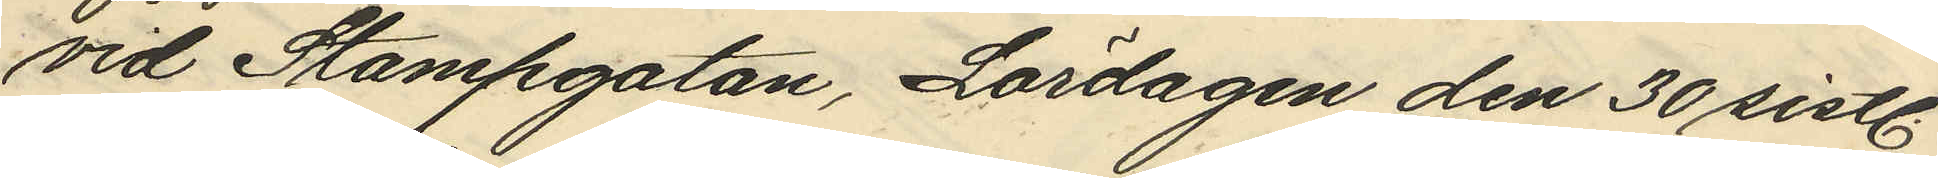vid Stampgatan, Lördagen den 30 sistl.
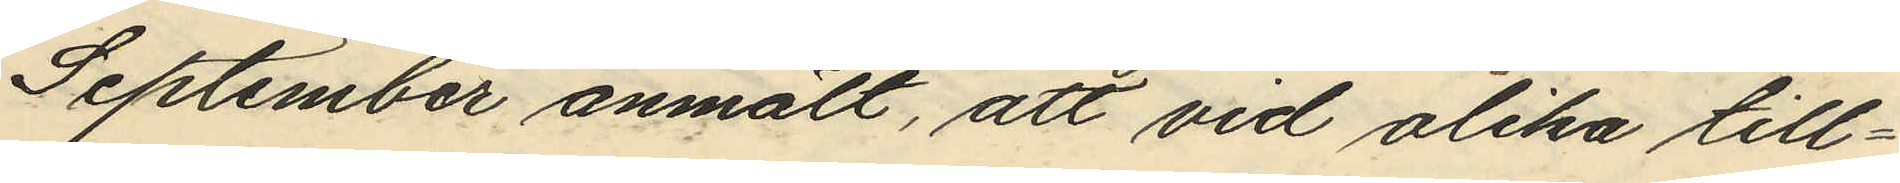September anmält, att vid olika till¬
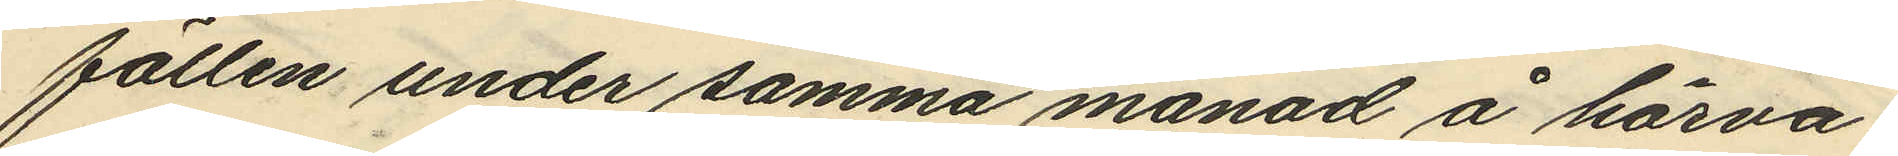fällen under samma månad å härva¬
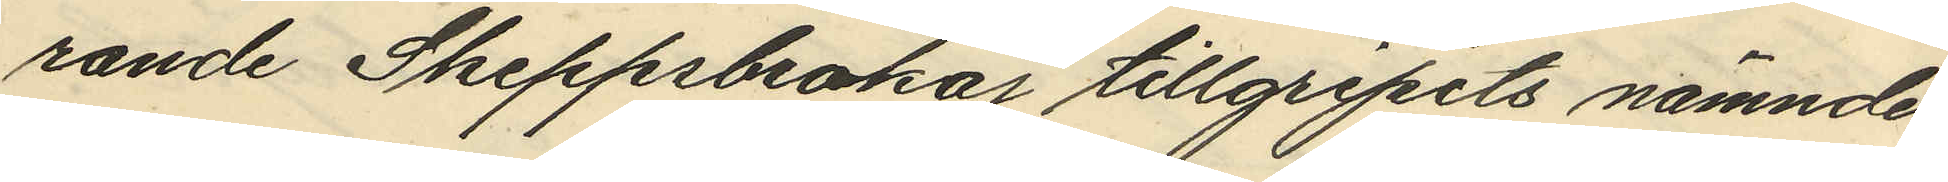rande Skeppsbrokaj tillgripits nämnde
